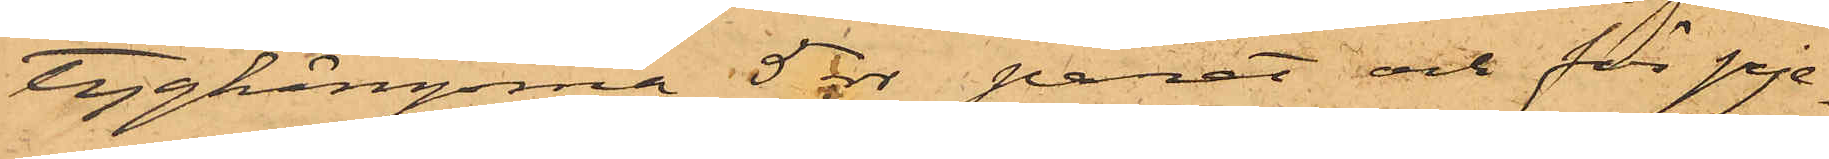tygkängorna 5 rdr paret och för pje¬
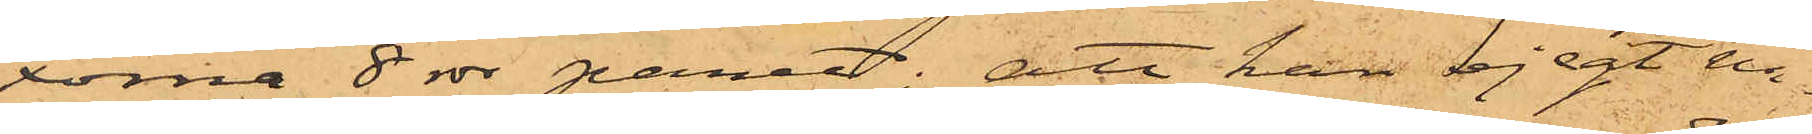xorna 8 rdr paret; att han ej egt nå¬
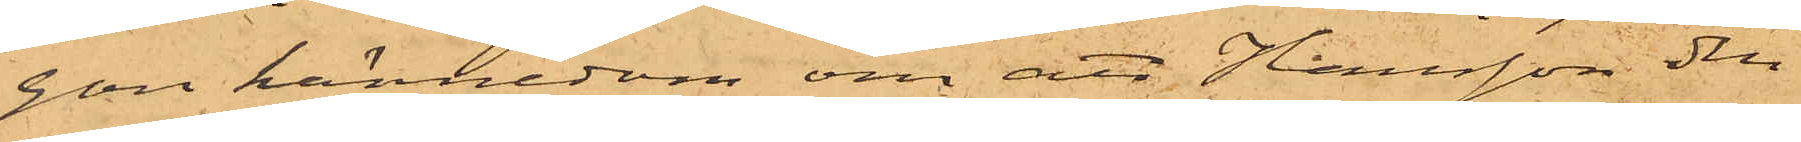gon kännedom om att Hansson den
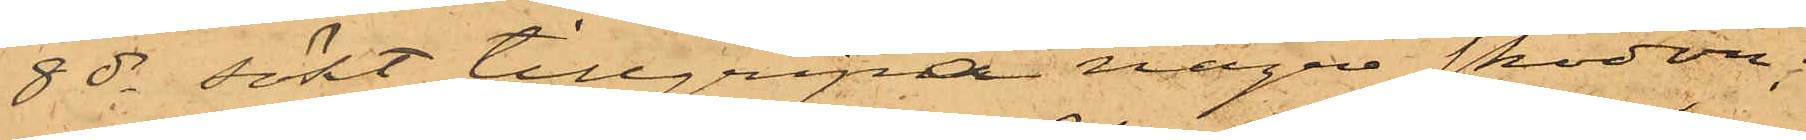8 ds sökt tillgripa några skodon;
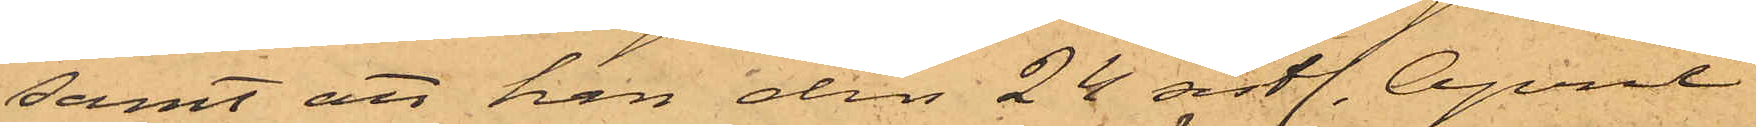samt att han den 24 sistl. April
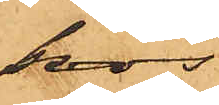hos
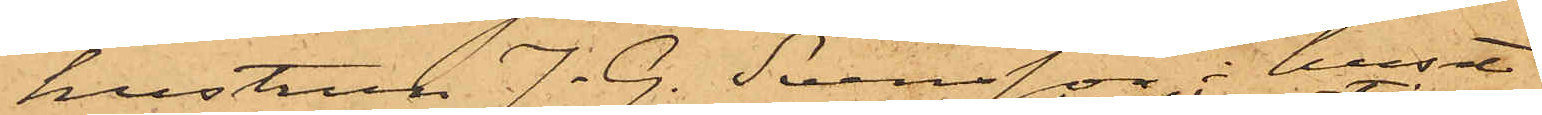hustrun J. G. Svensson i huset
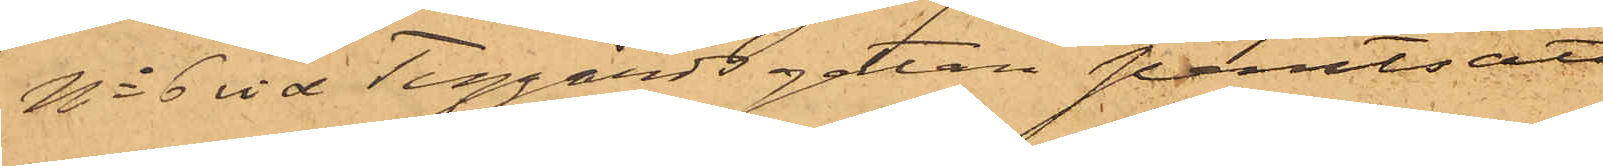No 6 vid Tyggårdsgatan pantsatt
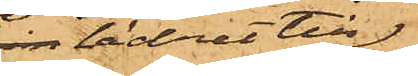skin lädret till
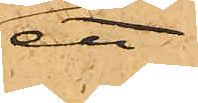ett
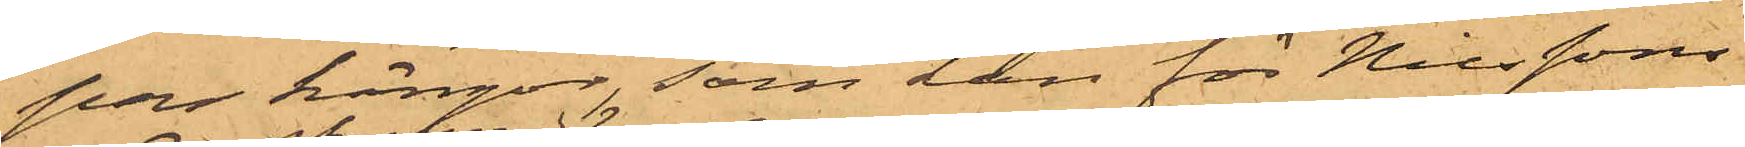par kängor, som han för Nilssons
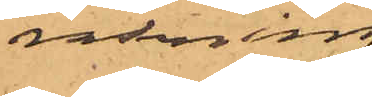räkning
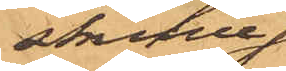skulle
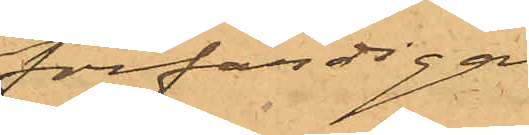förfärdiga.
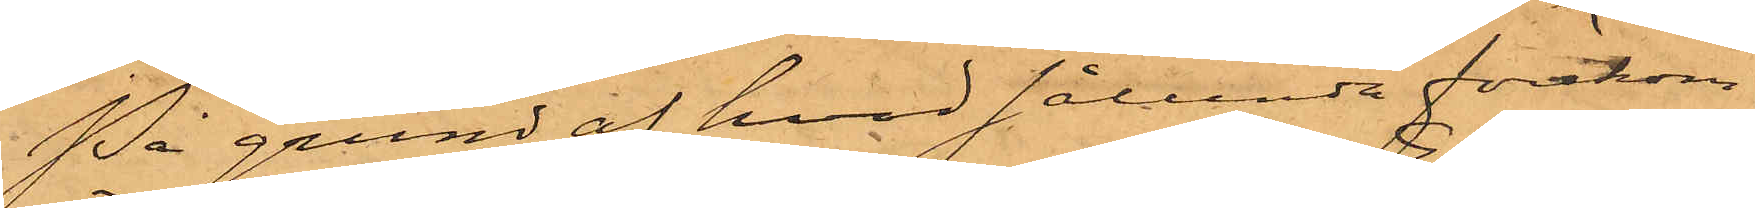På grund af hvad sålunda förekom¬
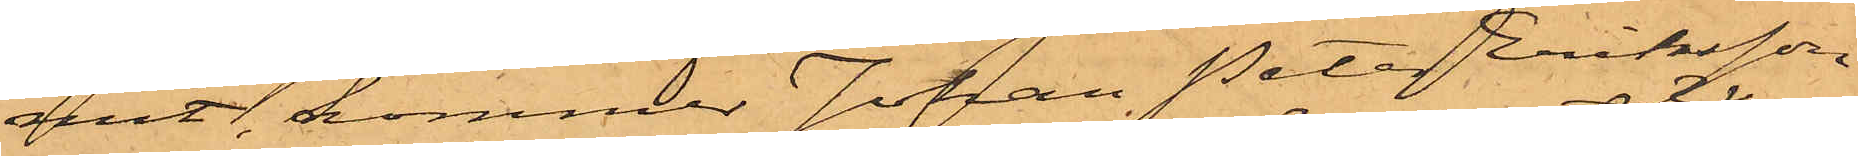mit, kommer Johan Peter Eriksson
